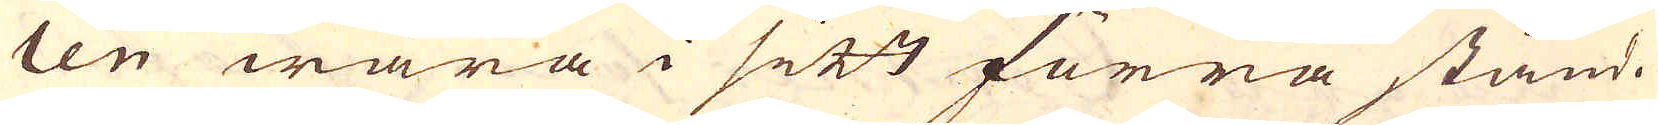ten wara i sitt förra stånd.
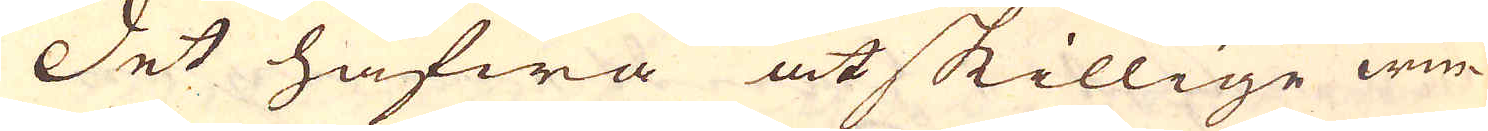Det hafwa åtskillige win-
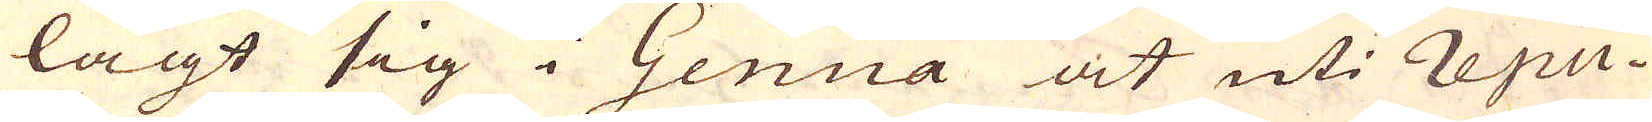lagt sig i Genua at uti repu-
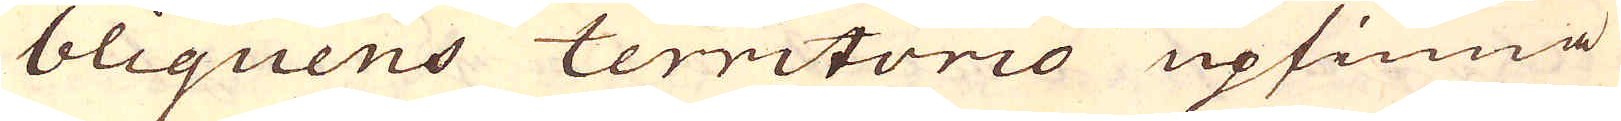bliquens territorio upfinna
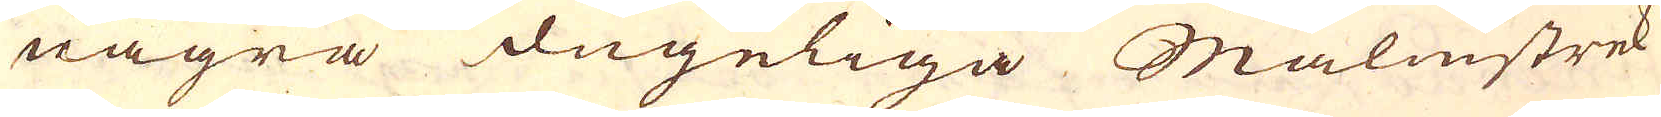några dugeliga Malmstrek
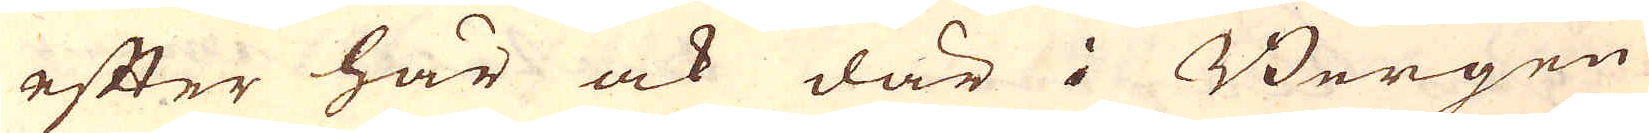efter här ock där i Bergen
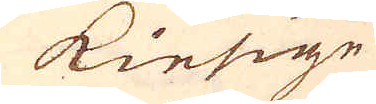kiesige
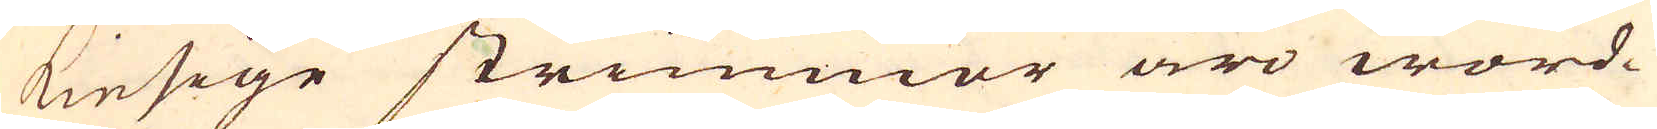kiesige strimmor äro word-
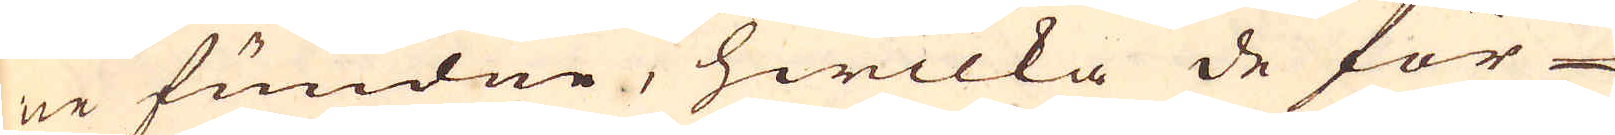ne fundne, hwilka de för-
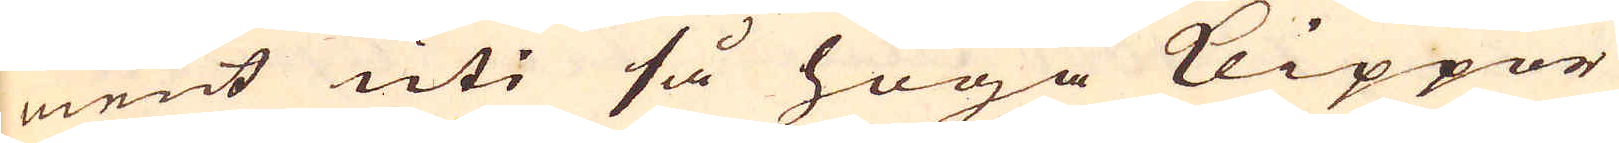ment uti så höga Klippor
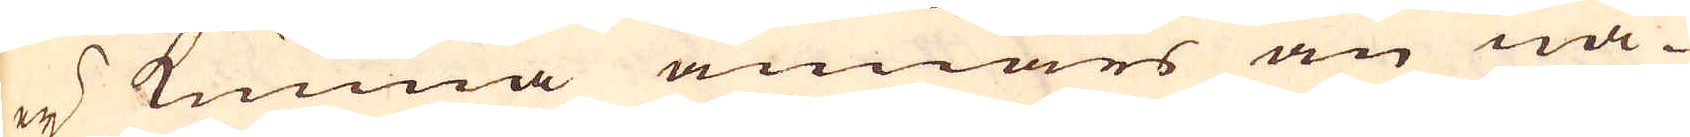ej kunna annars än nå-
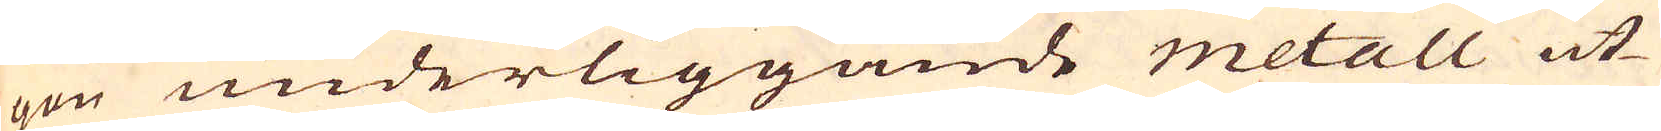gon underliggande metall ut-
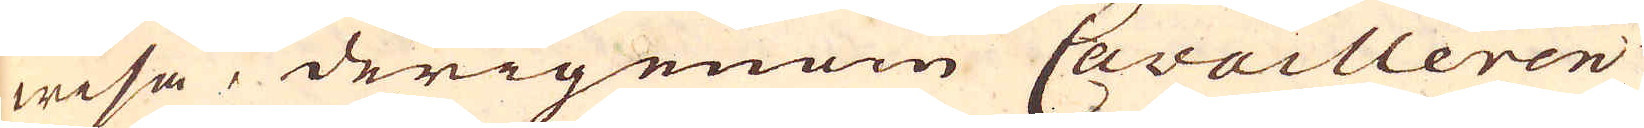wisa, derigenom Cavailleren
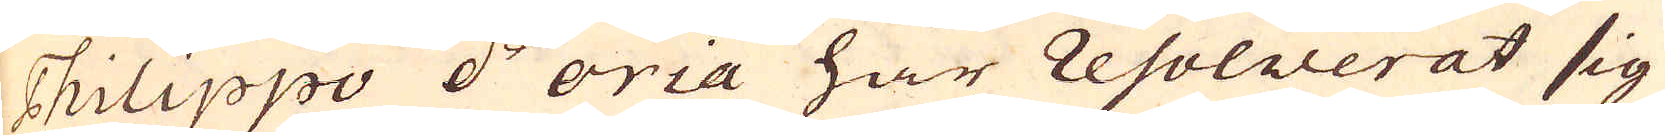Philippo d'oria har resolverat sig
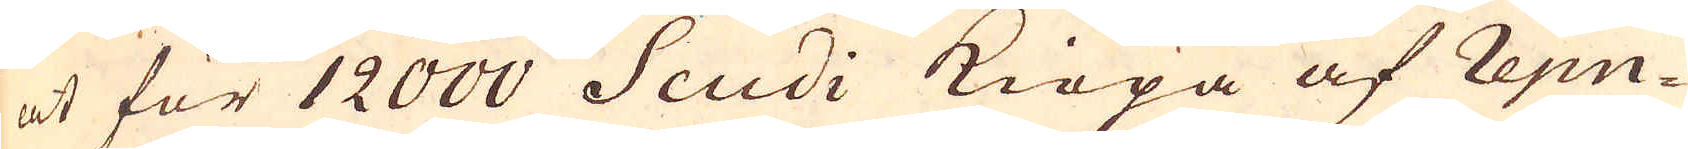at för 12000 Scudi kiöpa af repu-
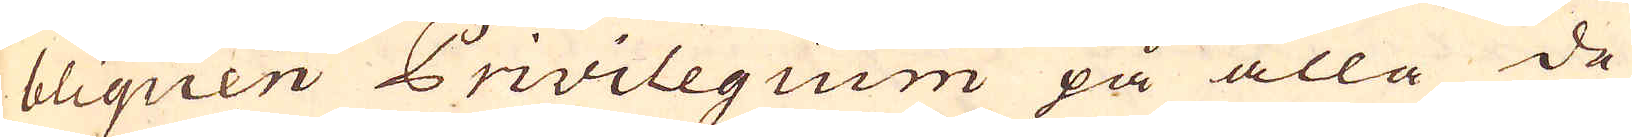bliquen Privilegium på alla de
